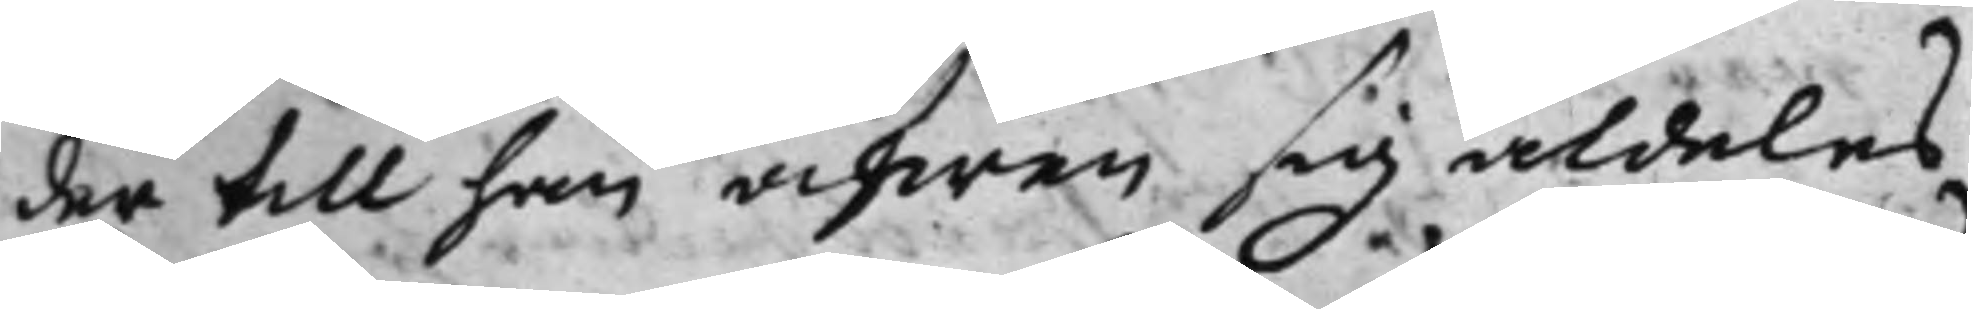der till han äfwen sig aldeles
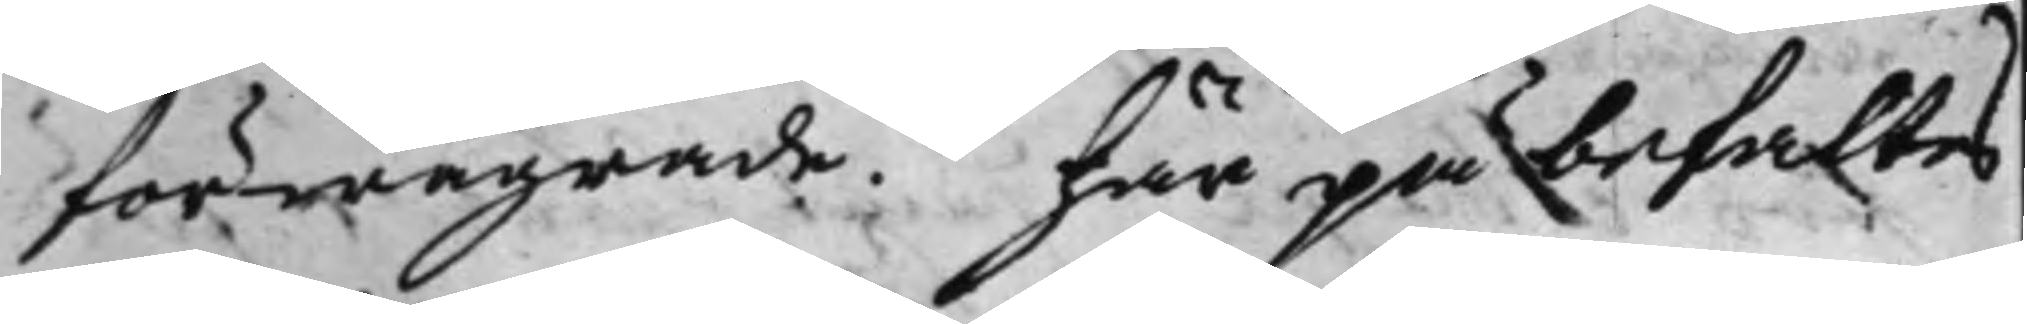förwägrade. här på befaltes
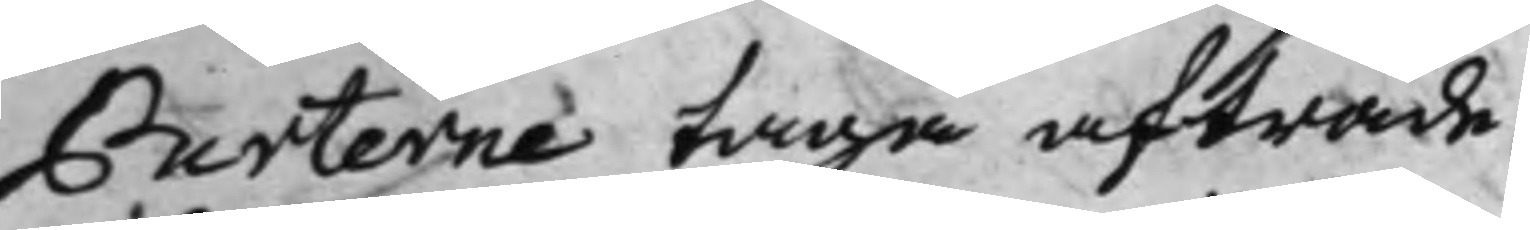Parterne taga afträde.
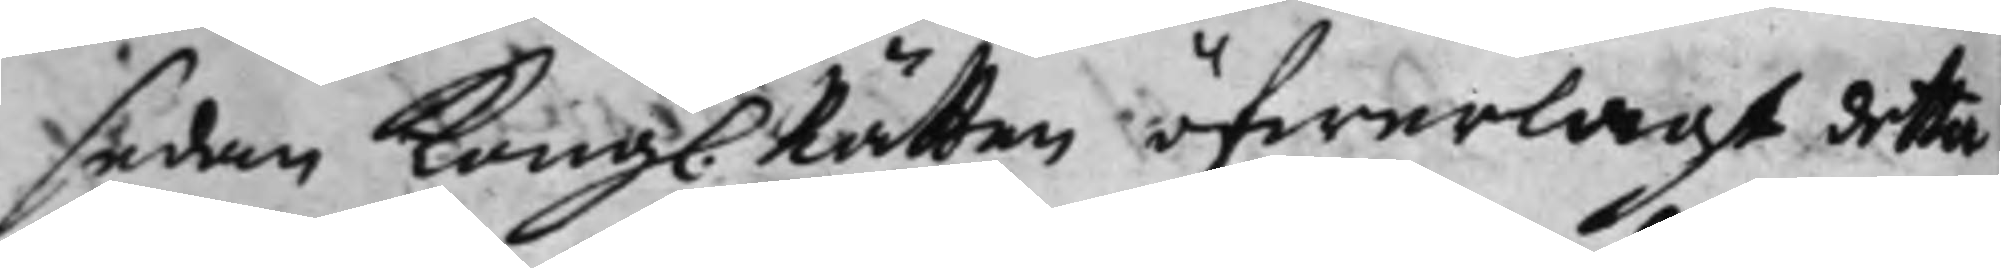Sedan Kong. Rätten öfwerlagt detta
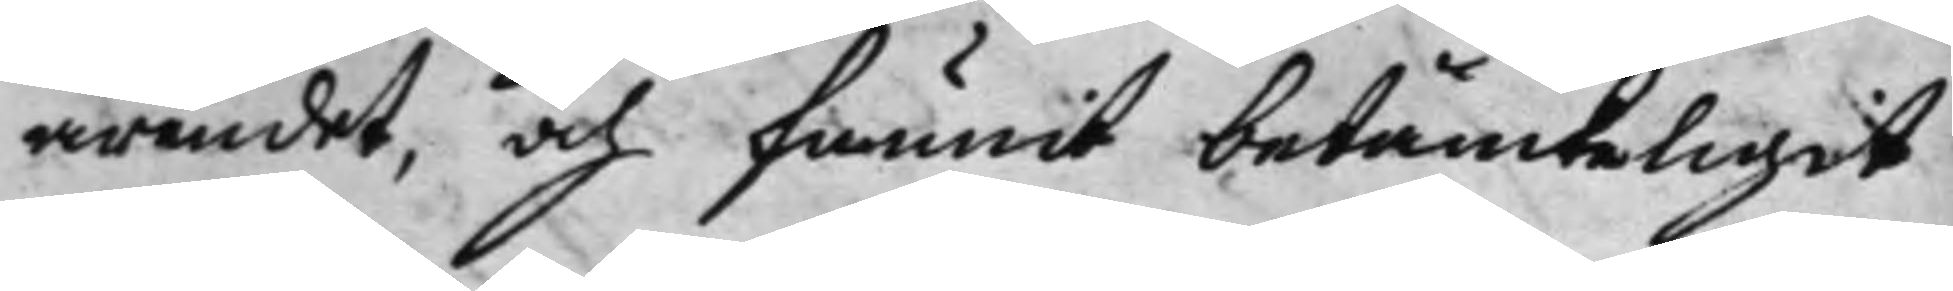ärendet, och funnit betänckeligit
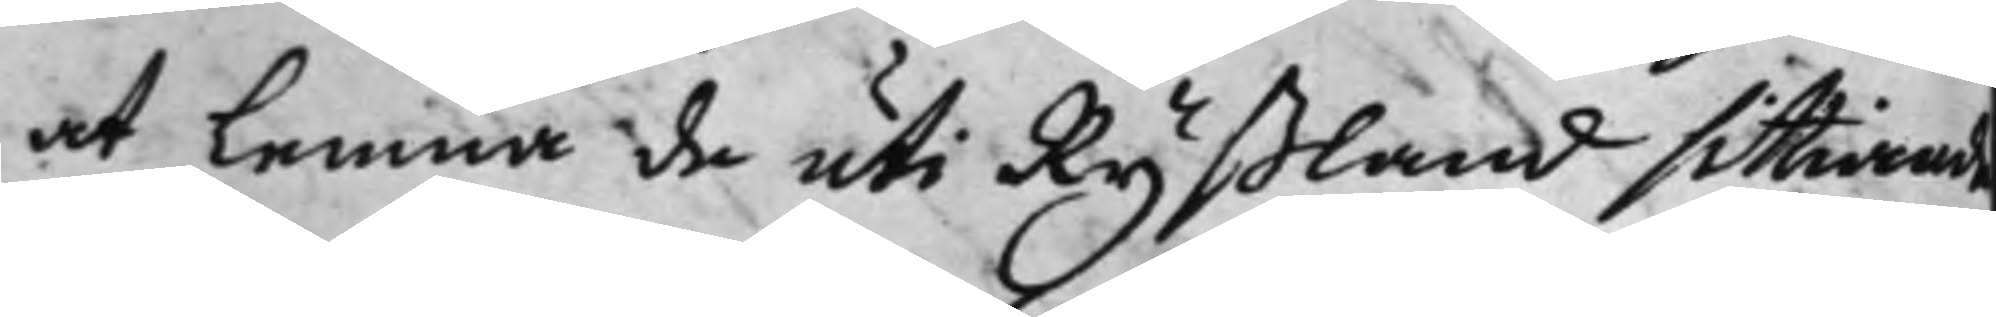at lemna de uti Ryßland sittiande
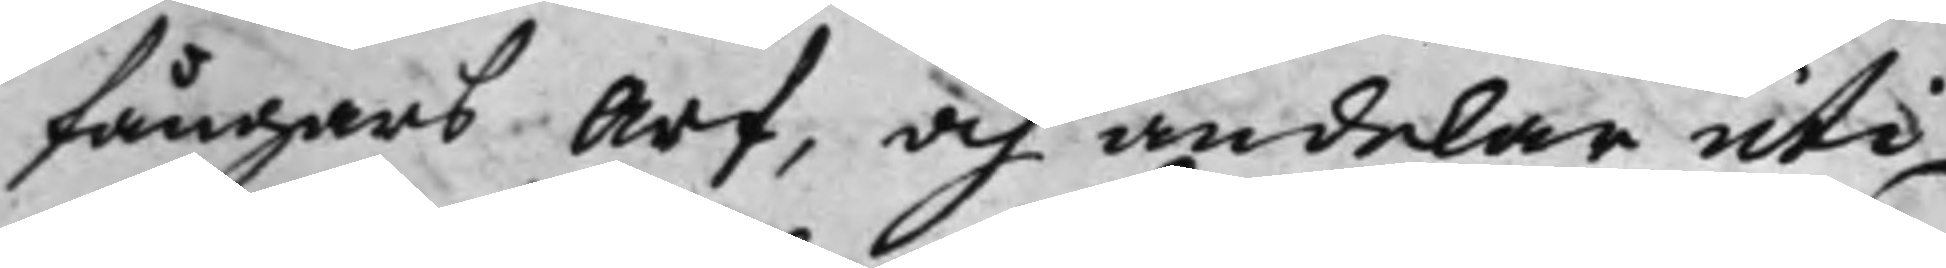fångars Arf, och andelar uti
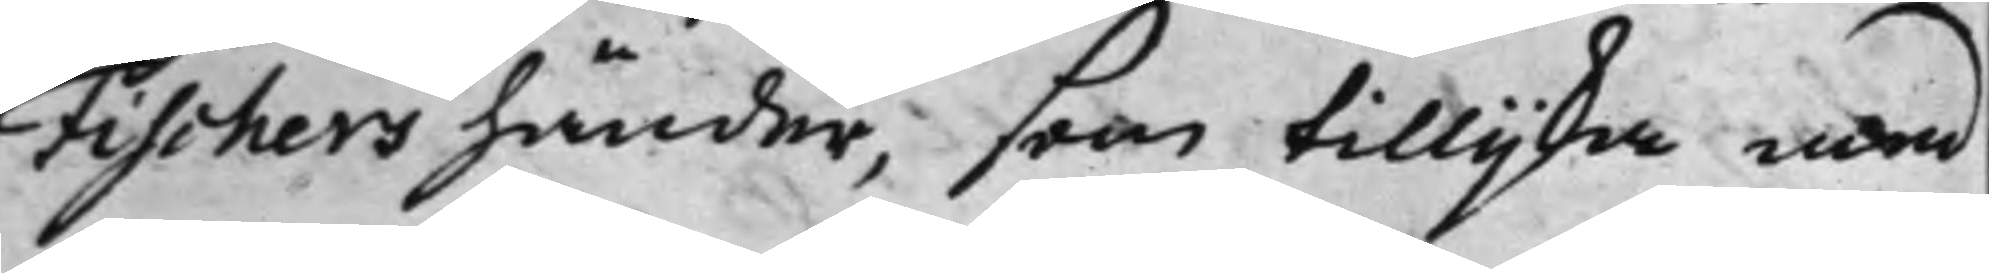Fischers händer, som tillijka med
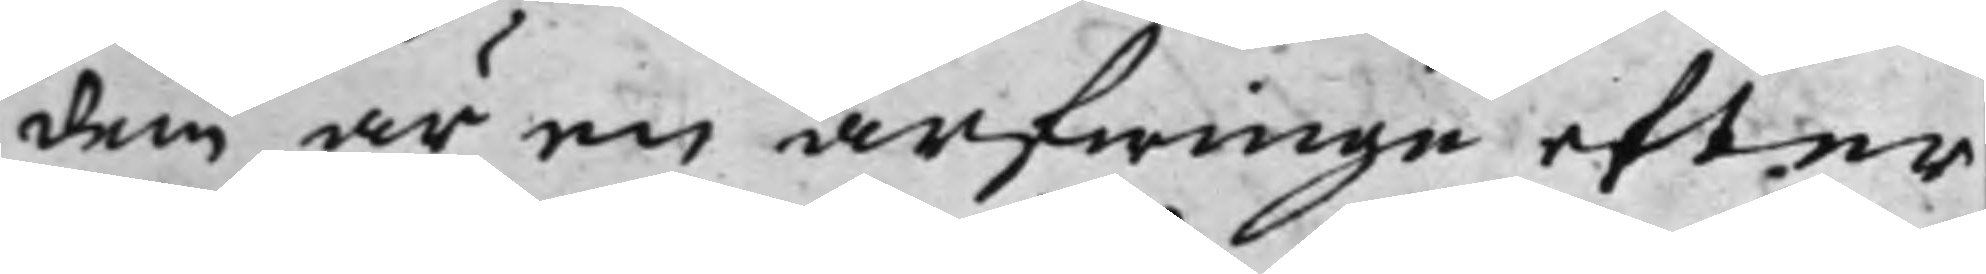dem är en arfwinge efter
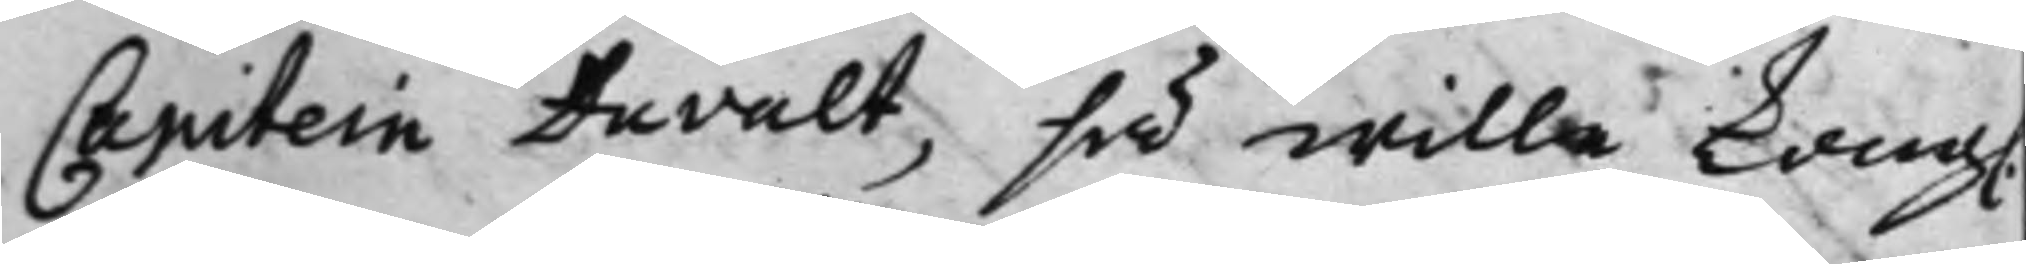Capitein Duvalt, så wille Kong.
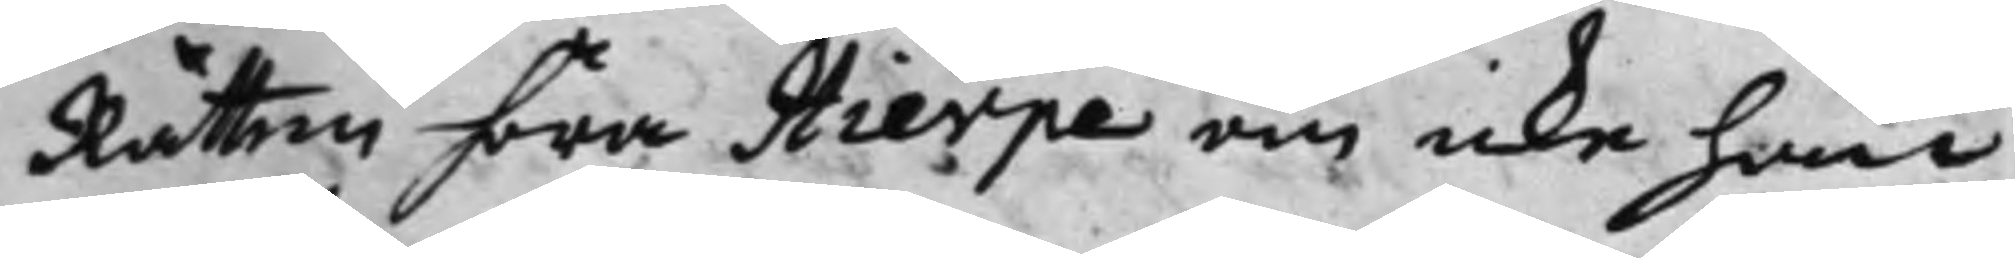Rätten höra Hierpe om icke han
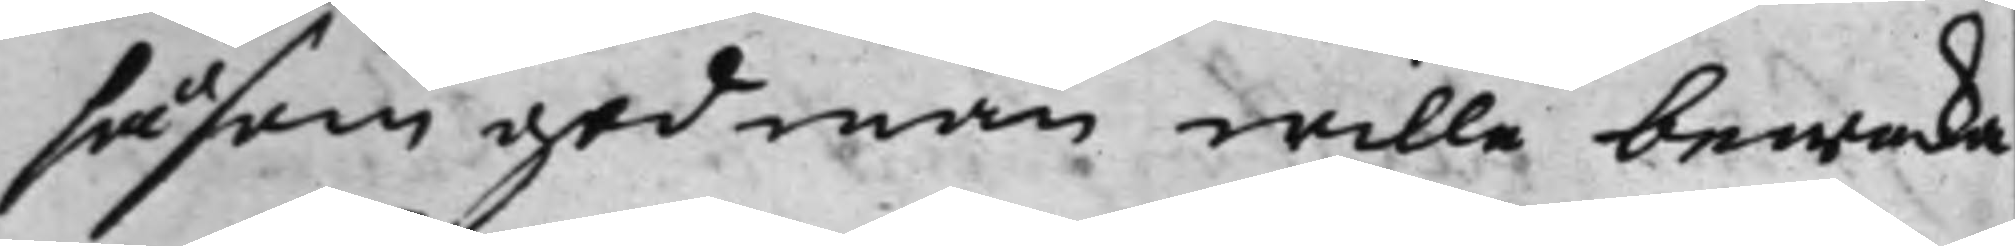såsom god man wille bewaka
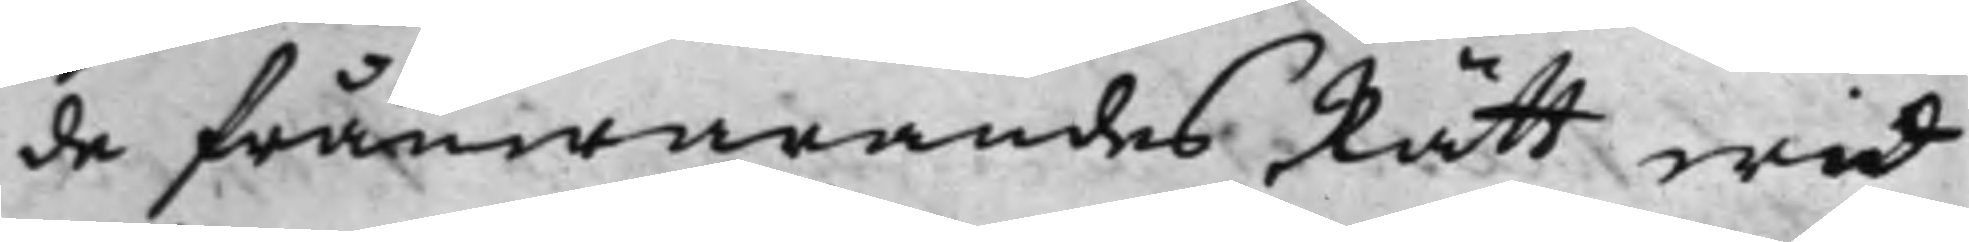de frånwarandes Rätt wid
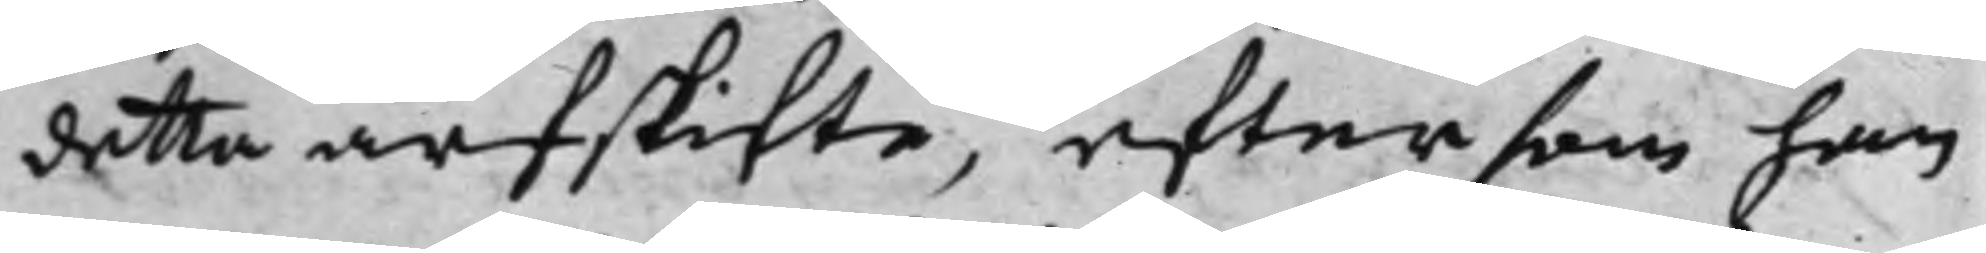detta arfskifte, eftersom han
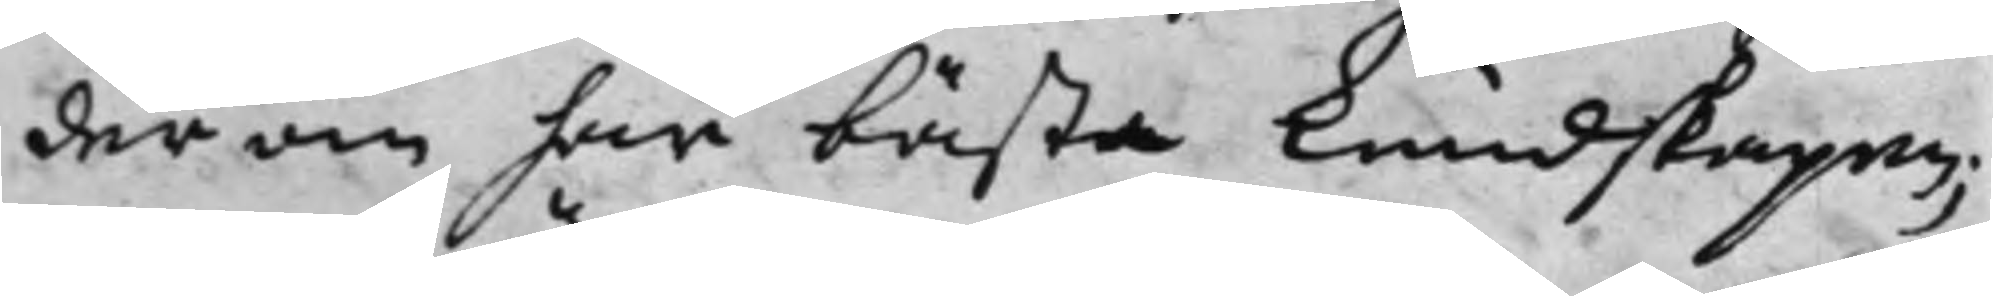der om har bästa Kundskapen;
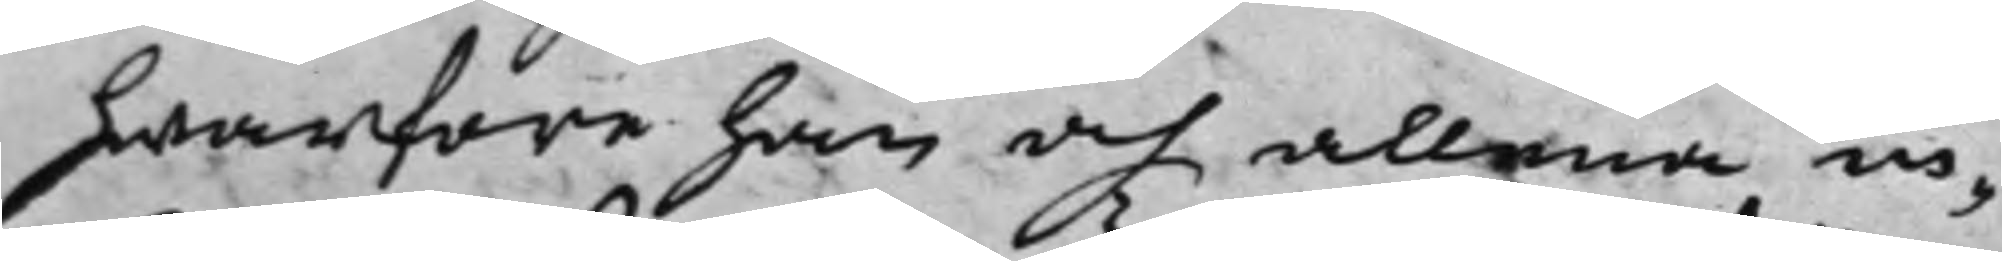hwarföre han och allena in¬
